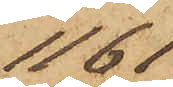1161
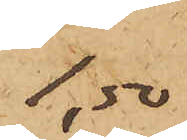1,50
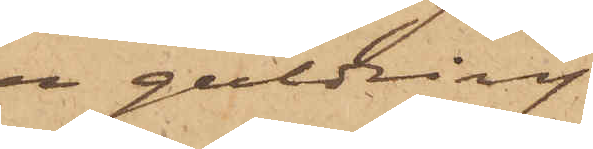en guldring
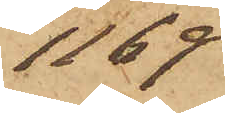1169
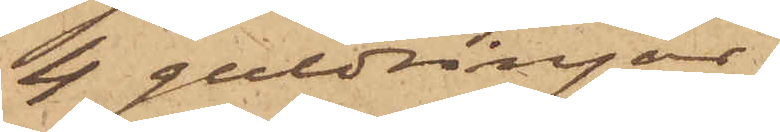4 guldringar
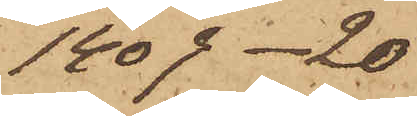1409 - 20
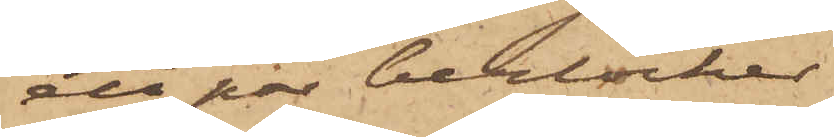ett par berlocker
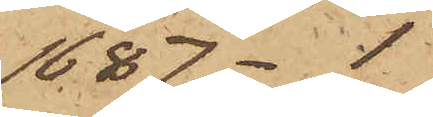1687 - 1
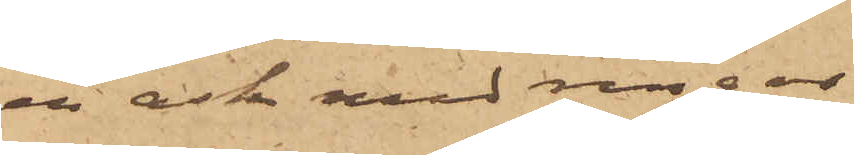en ask med ringar
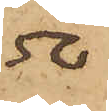.50
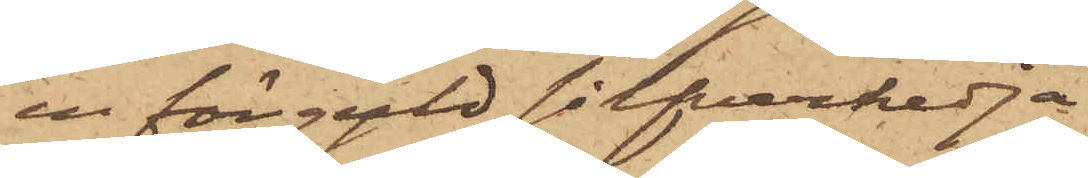en förgyld silfverkedja
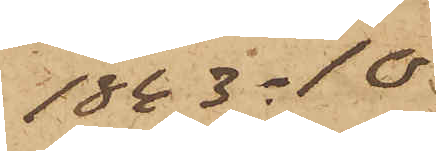1843 - 10
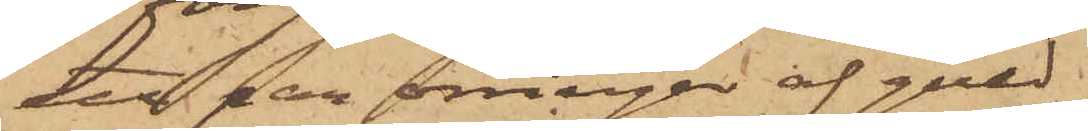ett par örringar af guld
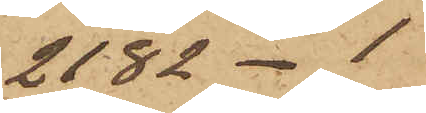2182 - 1
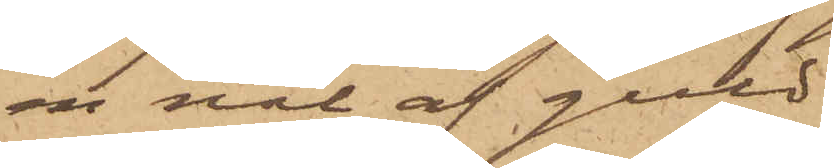en nål af guld
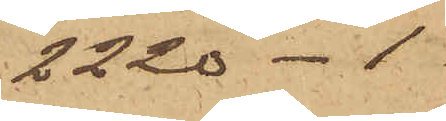2220 - 1
